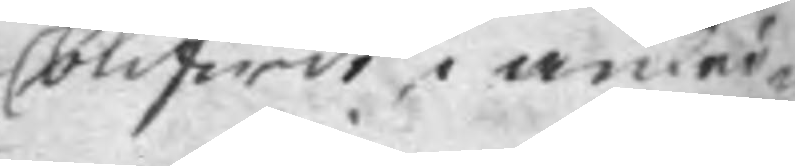blifwit, i anled¬
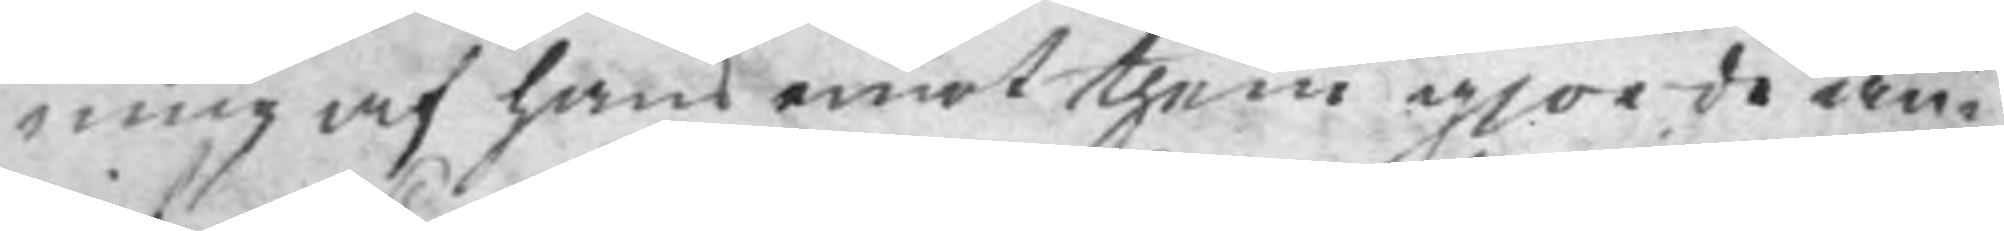ning af hans emot them gjorde an¬
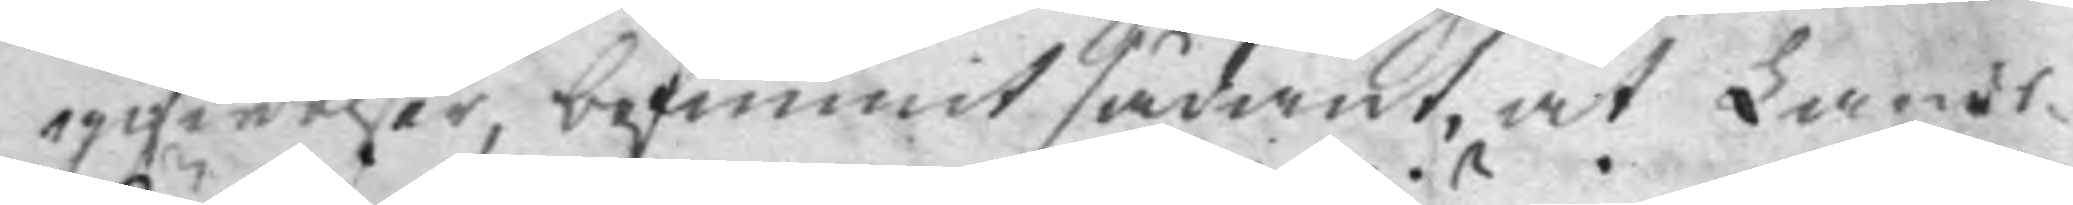gifwelser, befunnit sådant, at Lands¬
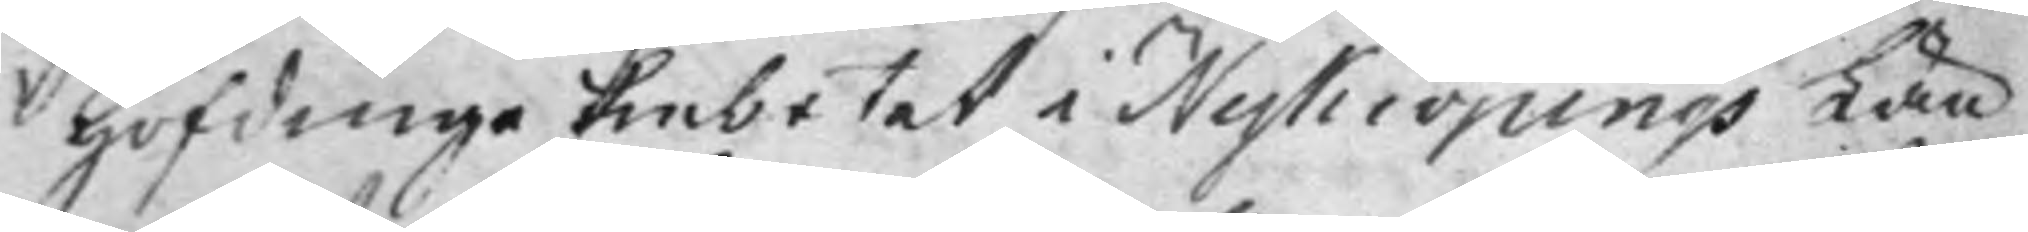Höfdinge Embetet i Nykiöpings Län
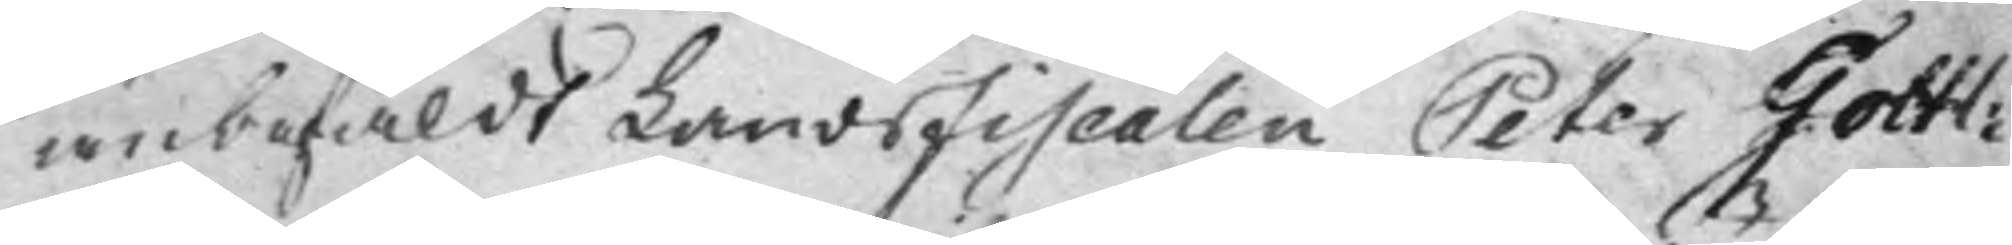anbefaldt LandsFiscalen Peter Gottl:
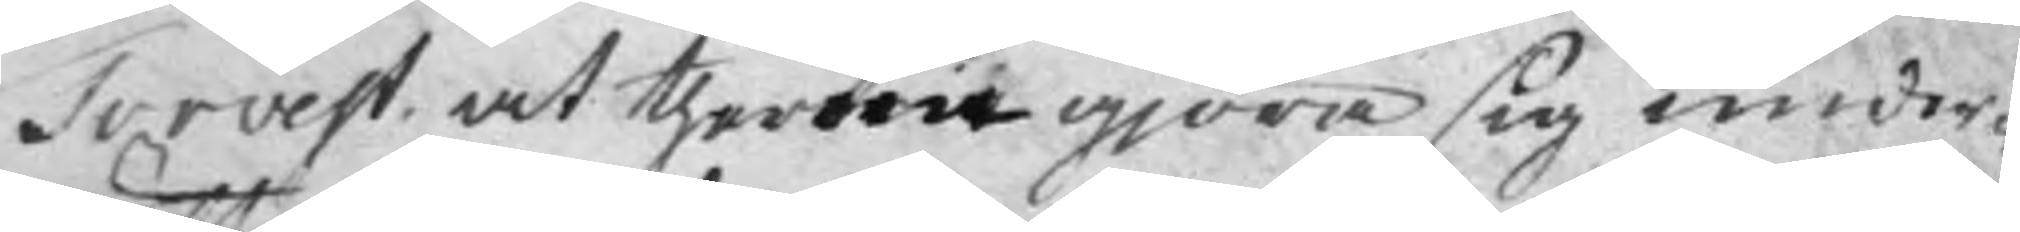Torvest, at therom gjöra sig under¬
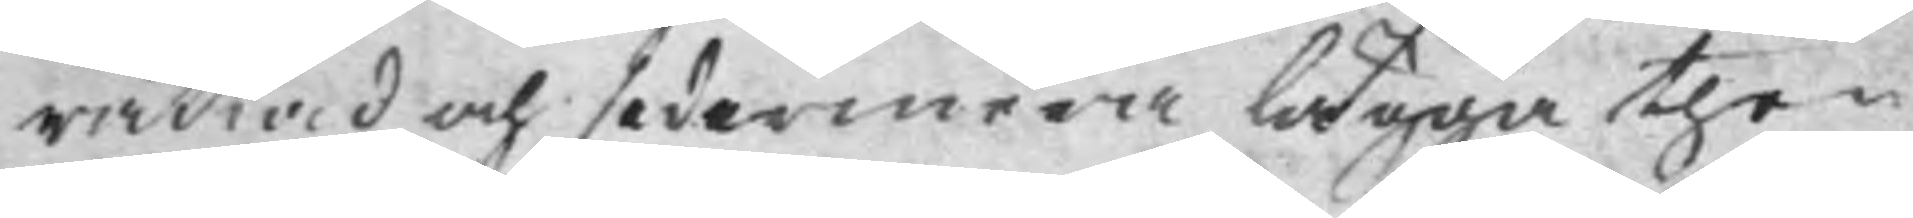rättad, och sedermera lägga then
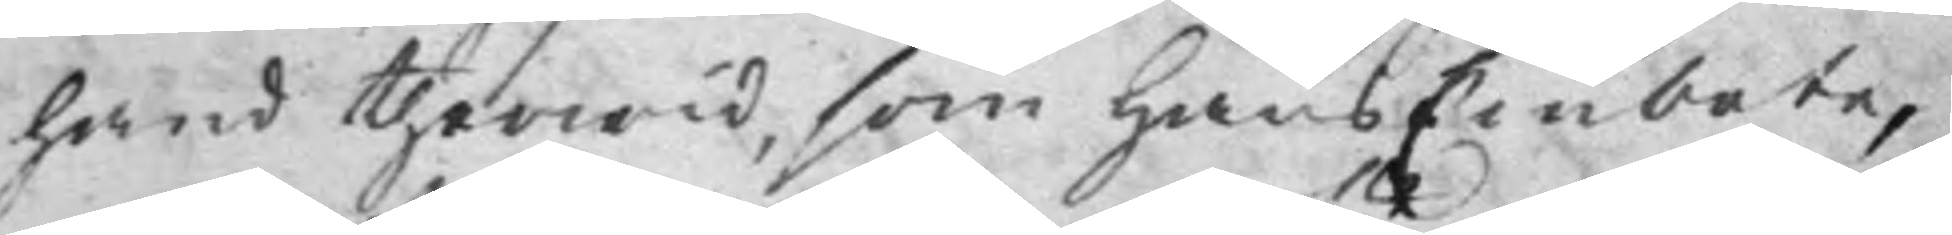hand therwid, som hans Embete,
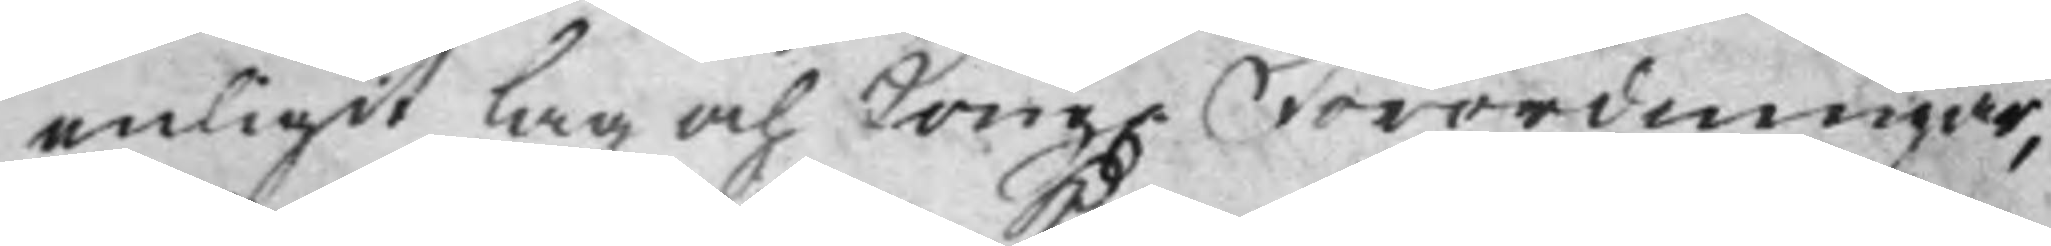enligit lag och Kong. Förordningar,
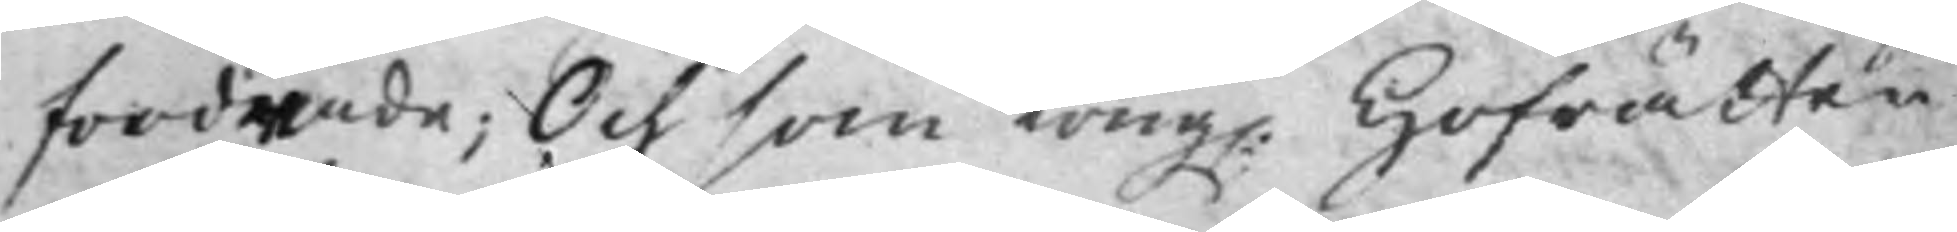fordrade; Och som Kong. Hofrätten
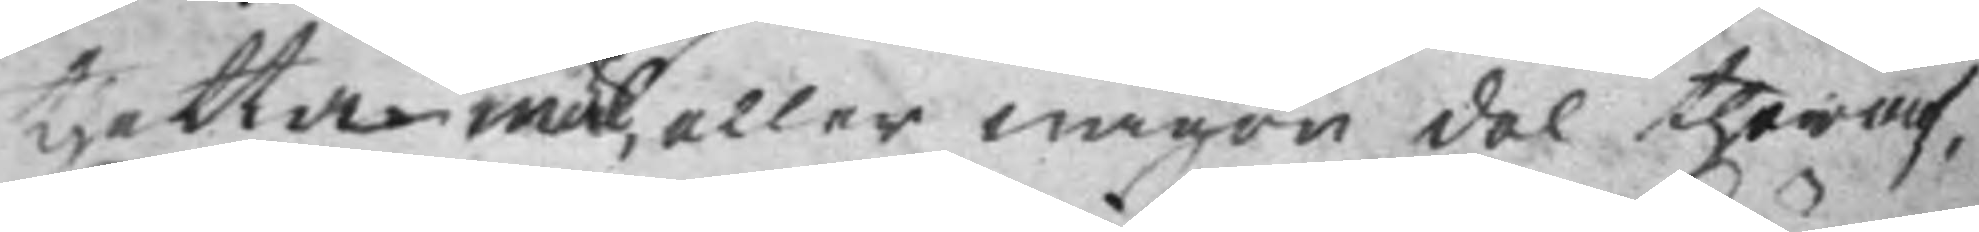thetta mål, eller någon del theraf,
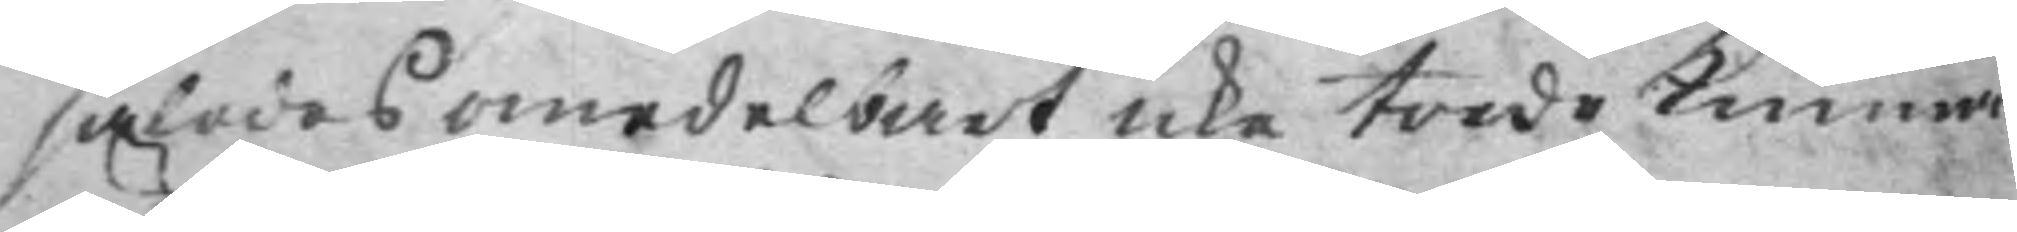således omedelbart icke torde Kunna
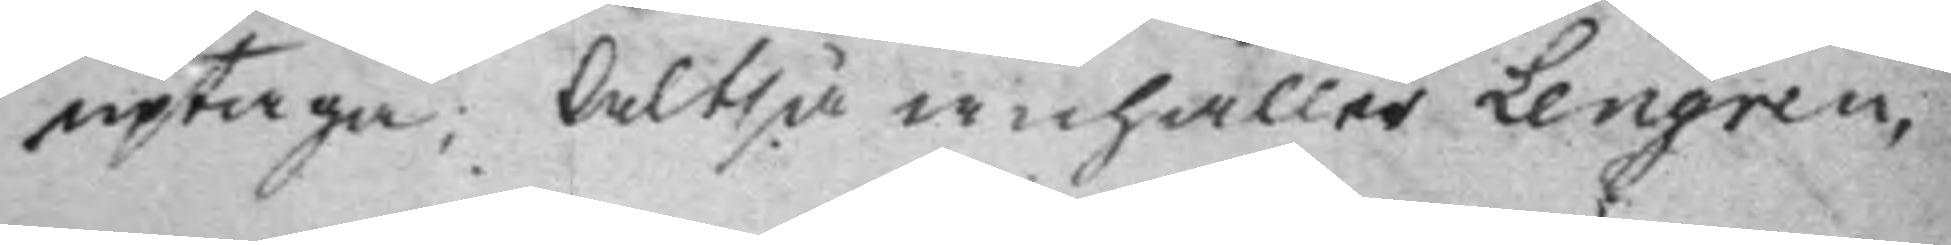uptaga; Altså anhåller Lengren,
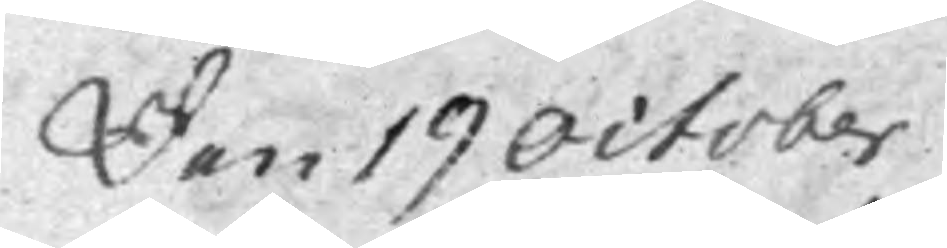Den 19 October
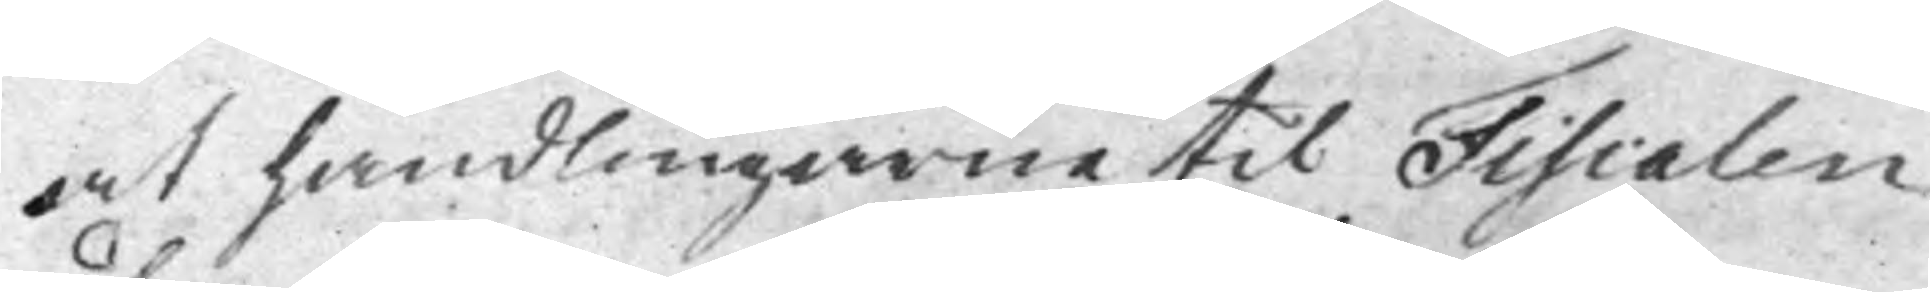at handlingarne til Fiscalen
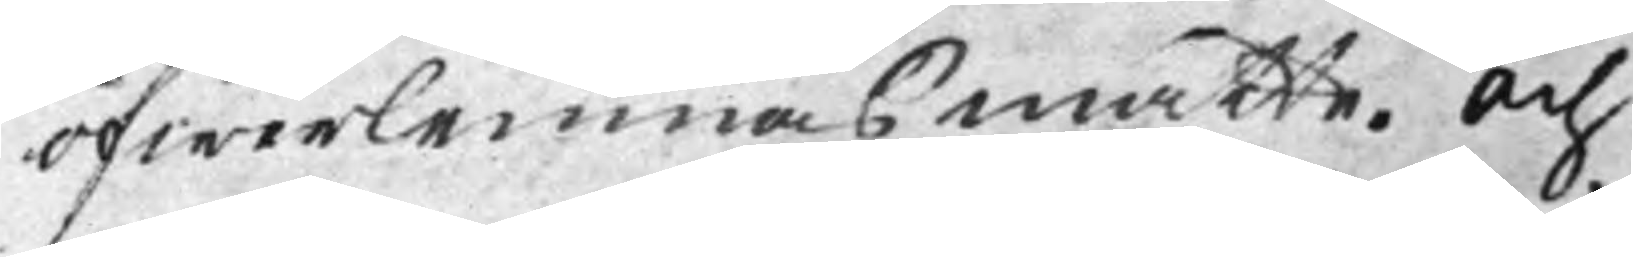öfwerlemnas måtte. Och
